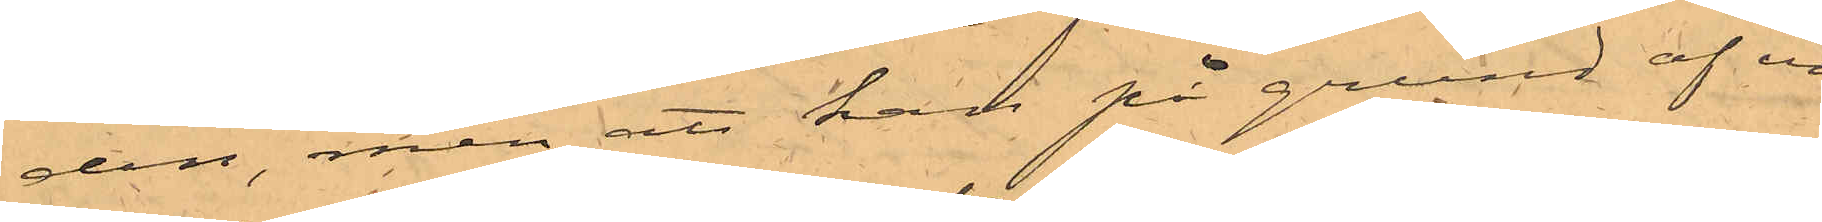den, men att han på grund af en
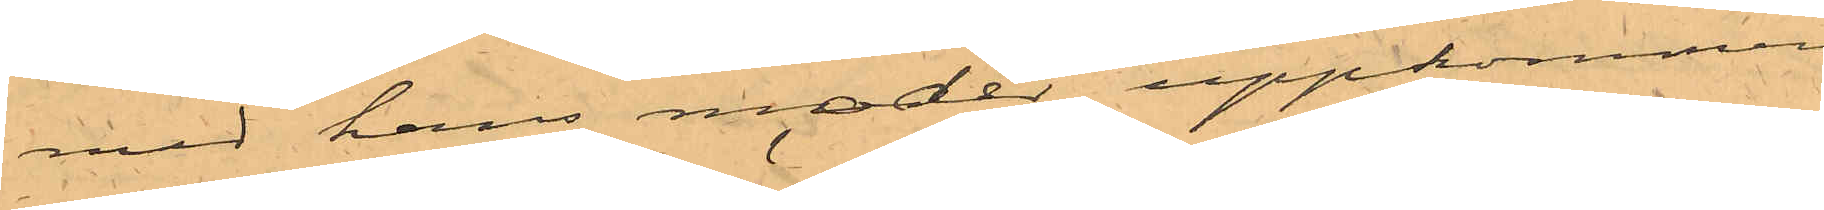med hans moder uppkommen
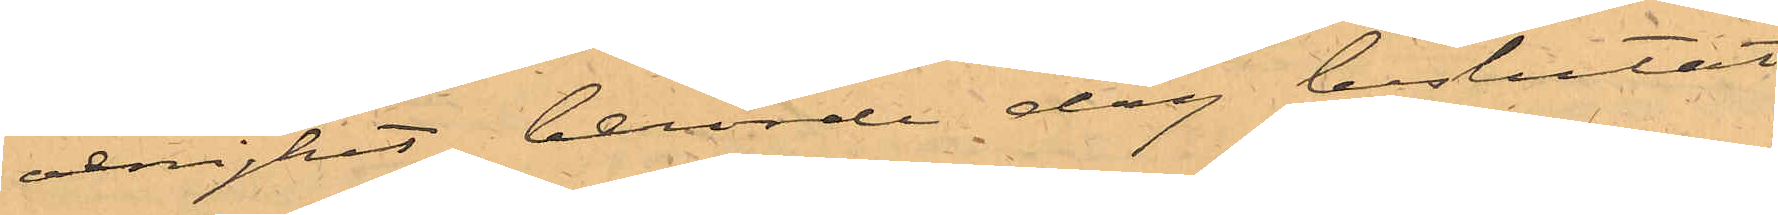oenighet, berörde dag beslutat
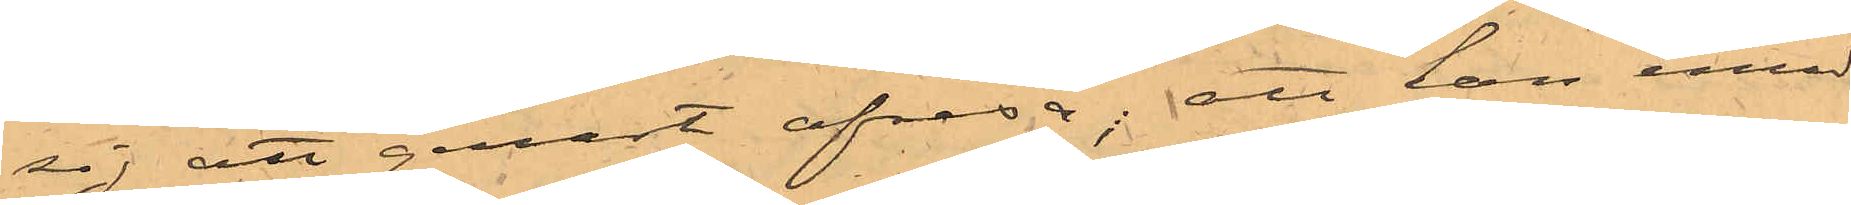sig att genast afresa; att han emel¬
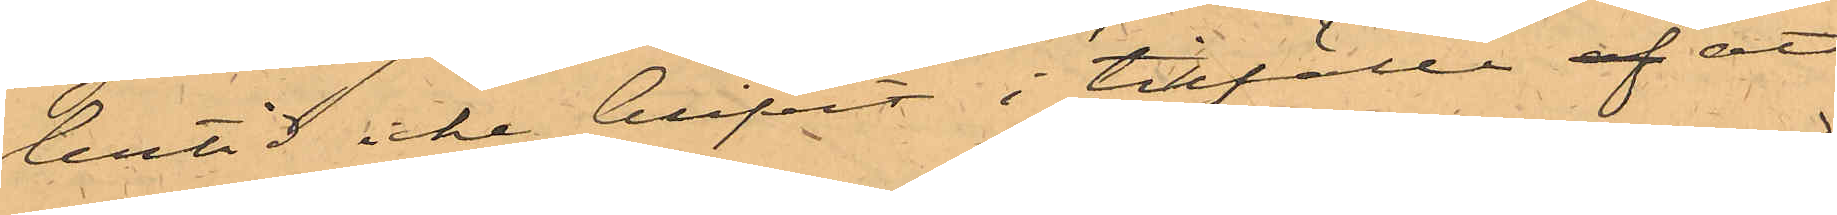lertid icke blifvit i tillfälle af att
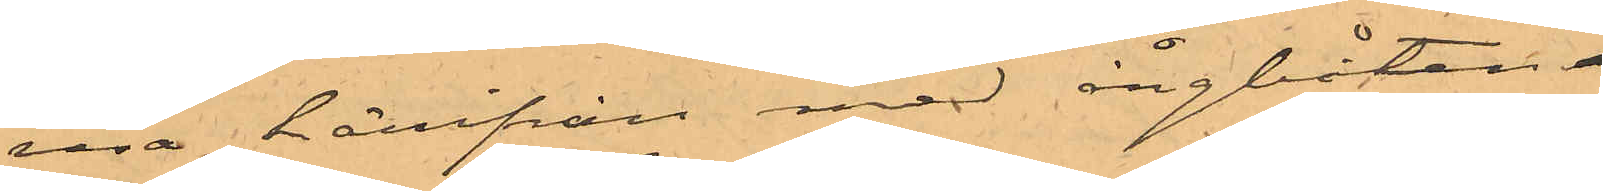resa härifrån med ångbåten
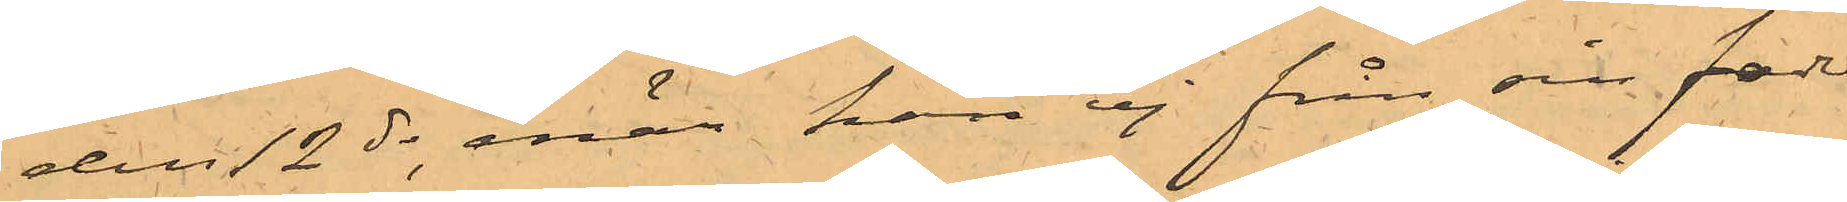den 12 ds; enär han ej från sin fader
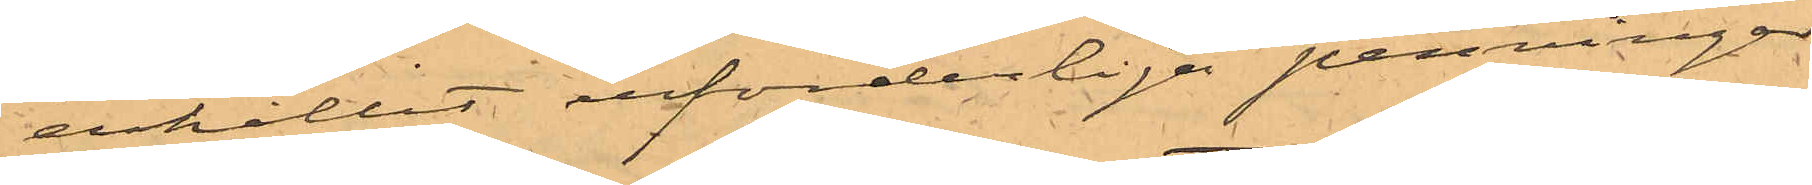erhållit erforderliga penningar,
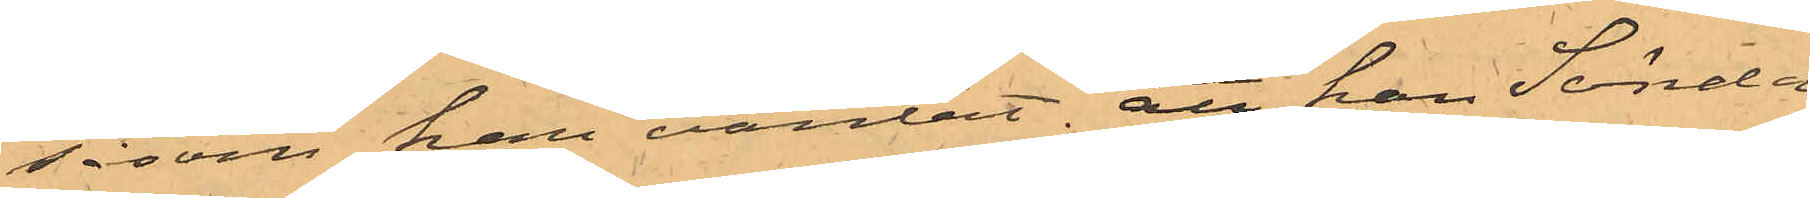såsom han väntat; att han Sönda-
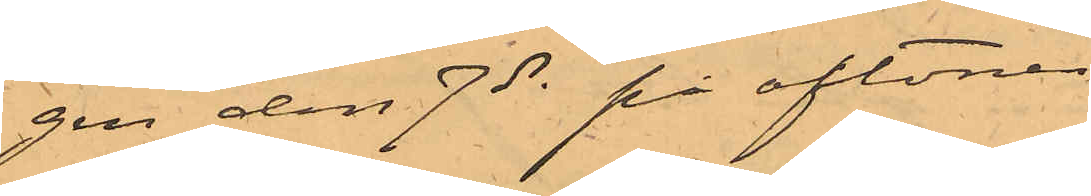gen den 7 ds på aftonen
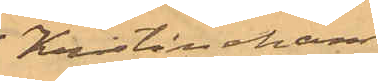i Kristinehamn
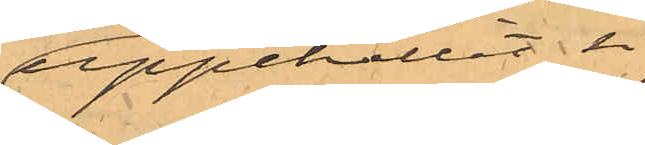uppehållit sig
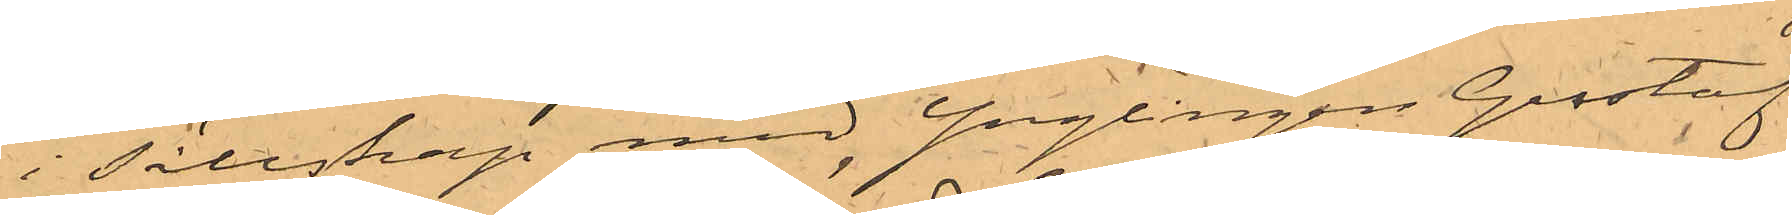i sällskap med Ynglingen Gustaf
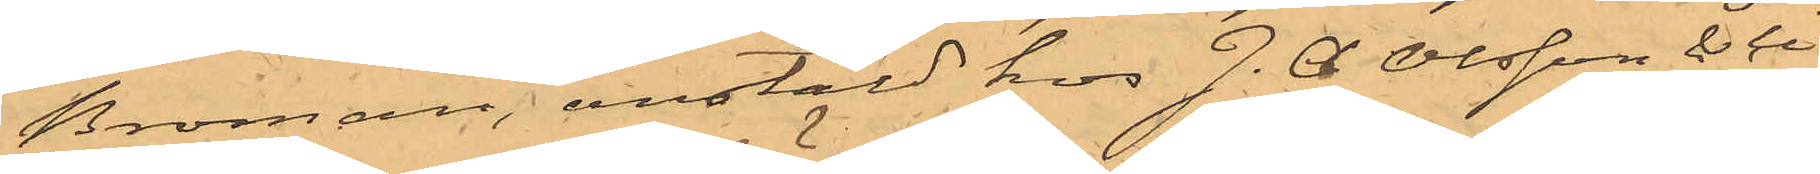Broman, anstäld hos J. C. Olsson & Ci,
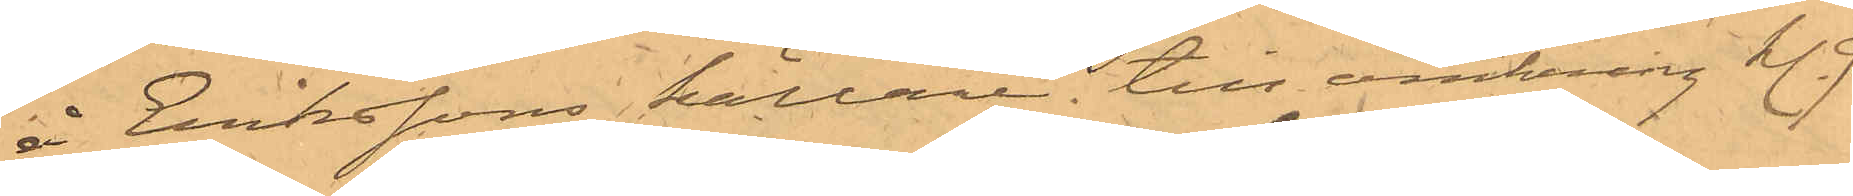å Erikssons källare till omkring kl. 9
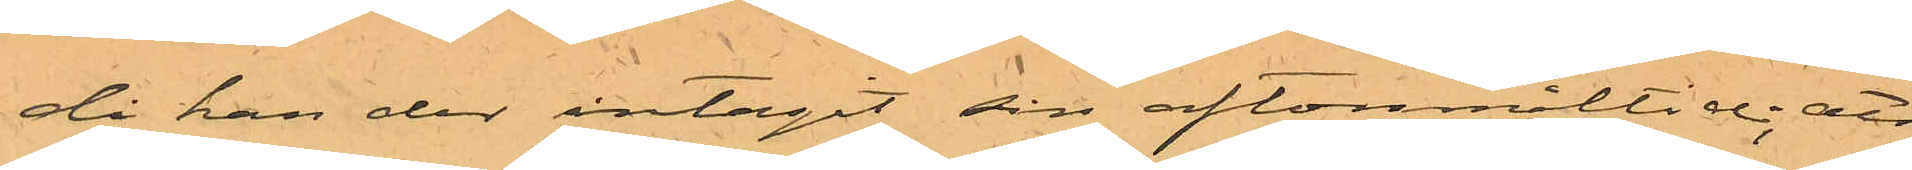då han der intagit sin aftonmåltid; att
